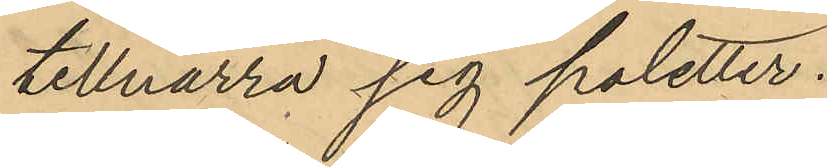tillnarra sig poletter.
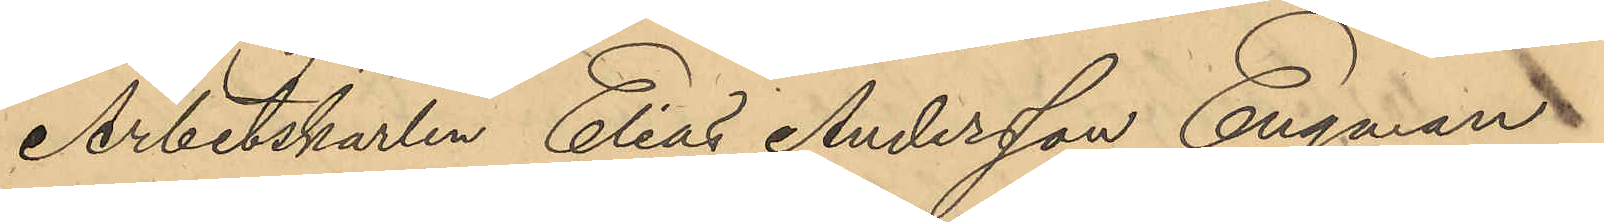Arbetskarlen Elias Andersson Engman
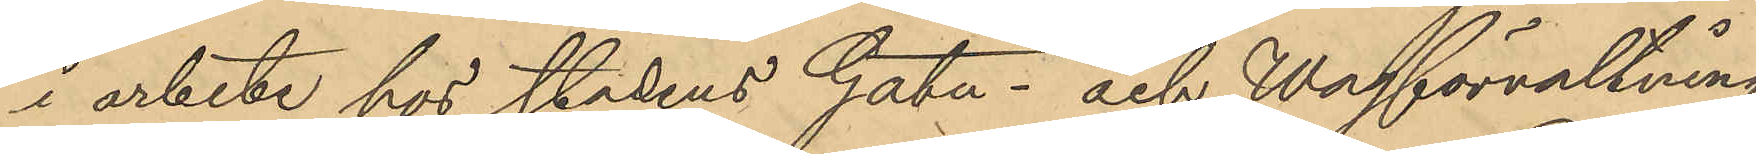i arbete hos stadens Gatu- och Wägförvaltning
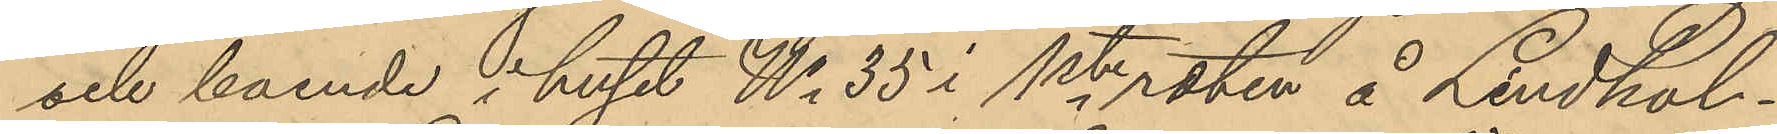och boende i huset No 35 i 1ste roten å Lindhol¬
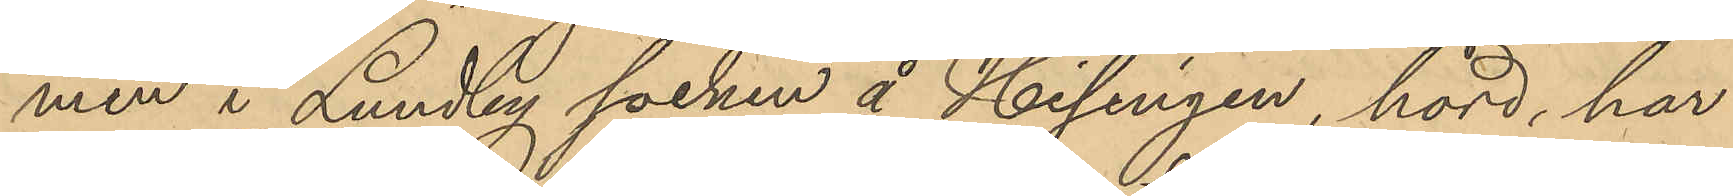men i Lundby socken å Hisingen, hörd, har
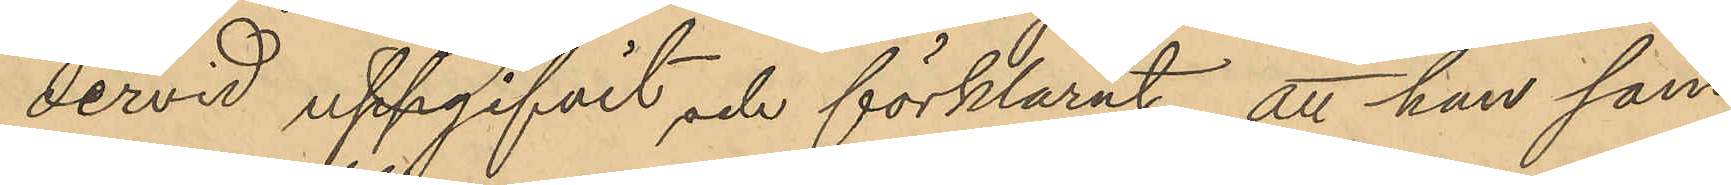dervid uppgifvit och förklarat, att han som
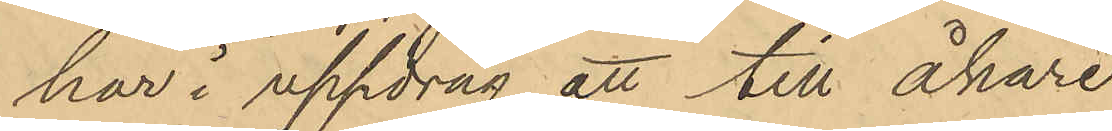har i uppdrag att till åkare
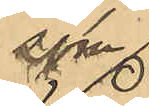som
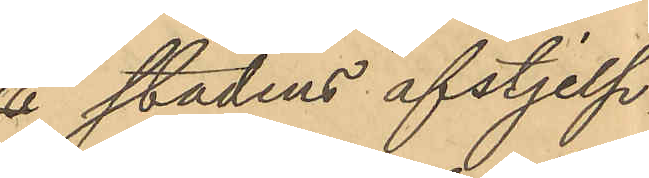å stadens afstjelp¬
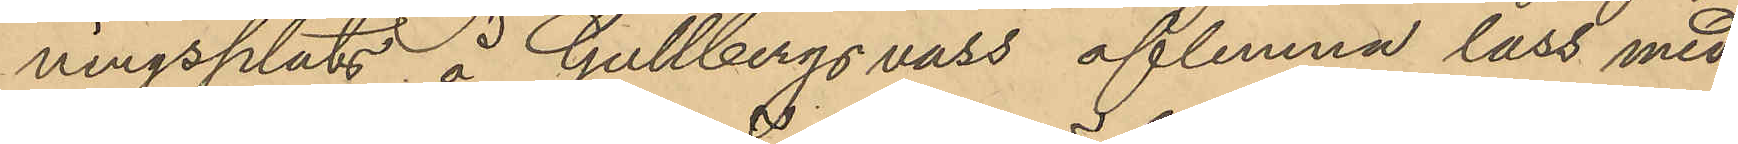ningsplats å Gullbergs vass aflemna lass med
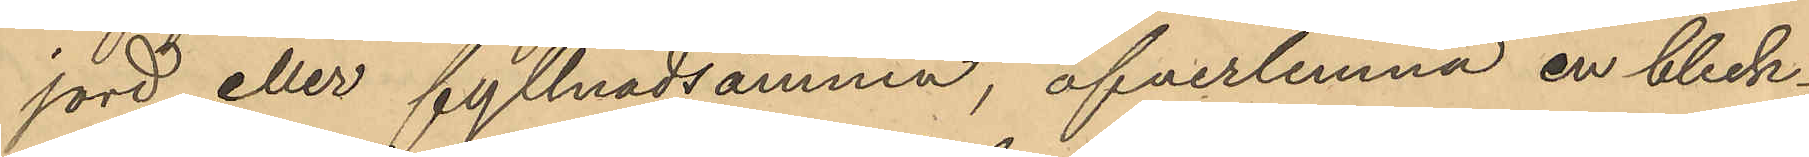jord eller fyllnadsämnen, öfverlemna en bleck¬
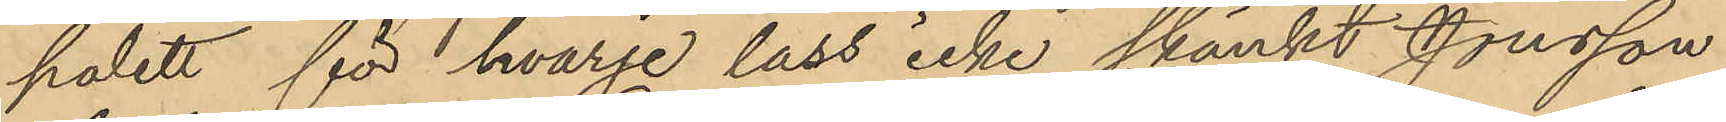polett för hvarje lass icke skänkt Jonsson
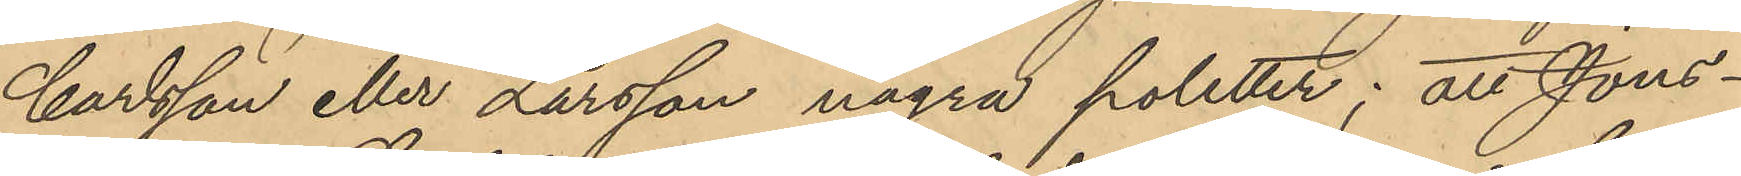Carlsson eller Larsson några poletter; att Jons¬
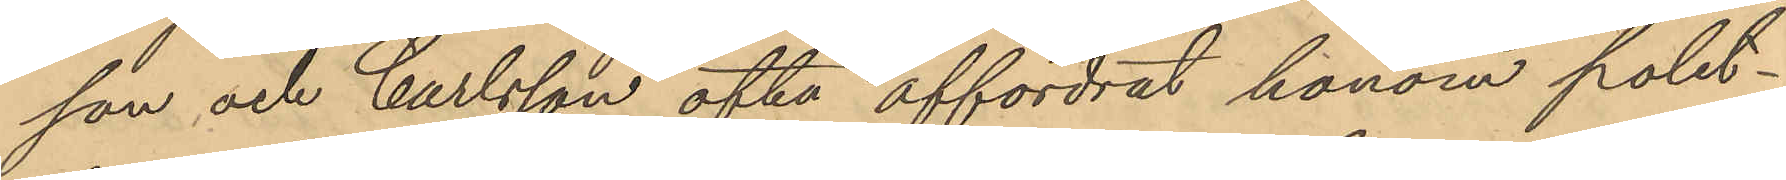son och Carlsson ofta affordrat honom polet¬
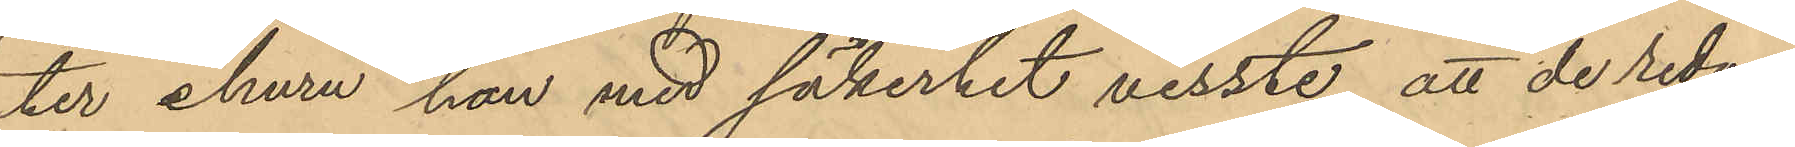ter ehuru han med säkerhet visste att de redan
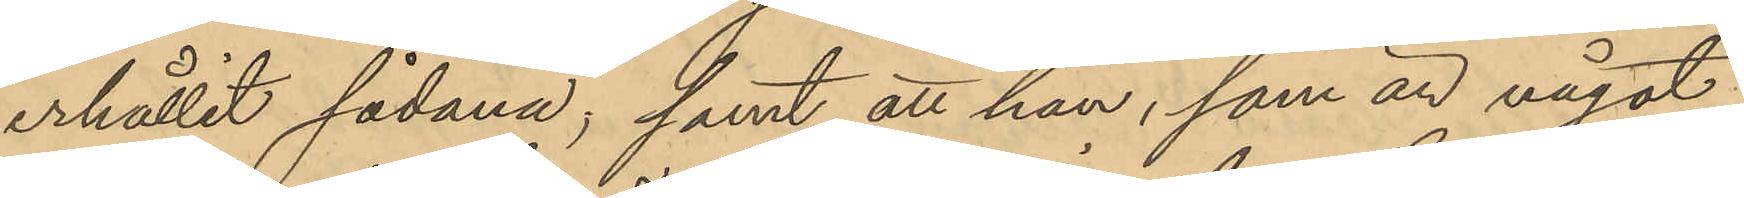erhållit sådana; samt att han, som är något
